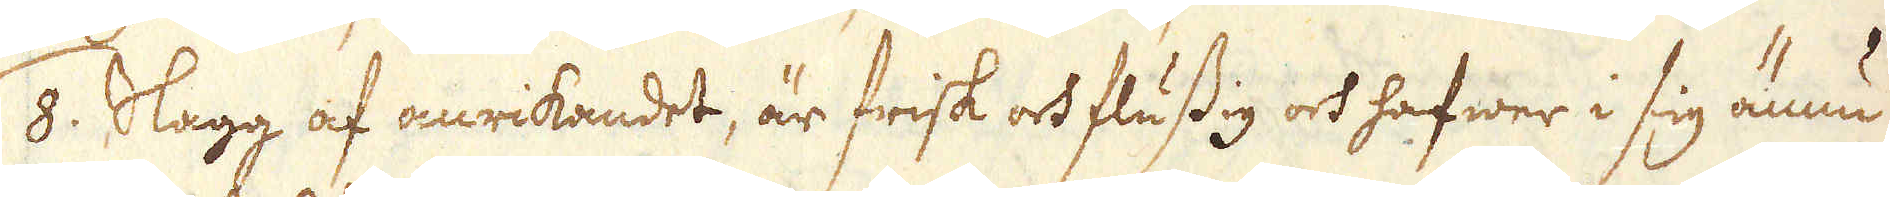/8. Slagg af anrikandet, är frisk och flussig och hafwer i sig ännu
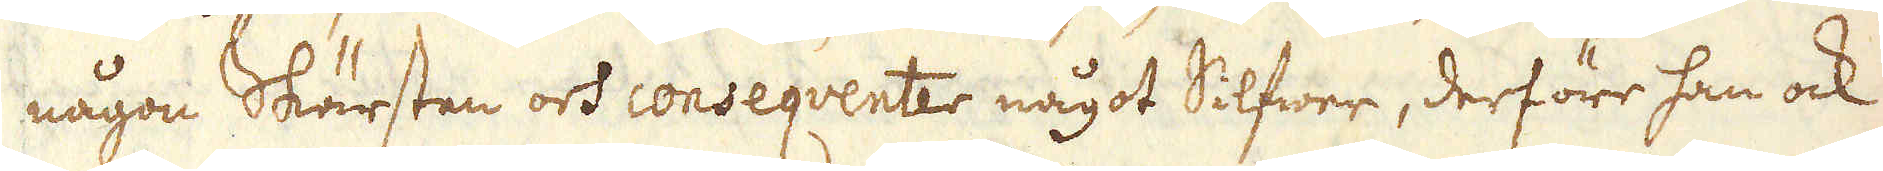någon Skärsten och conseqventer något Silfwer, derföre han ock
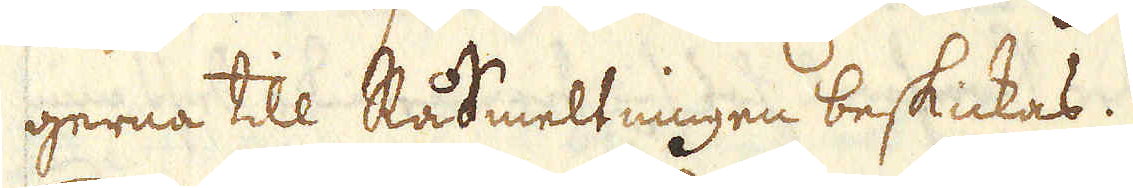gerna till RåSmeltningen beskickas.
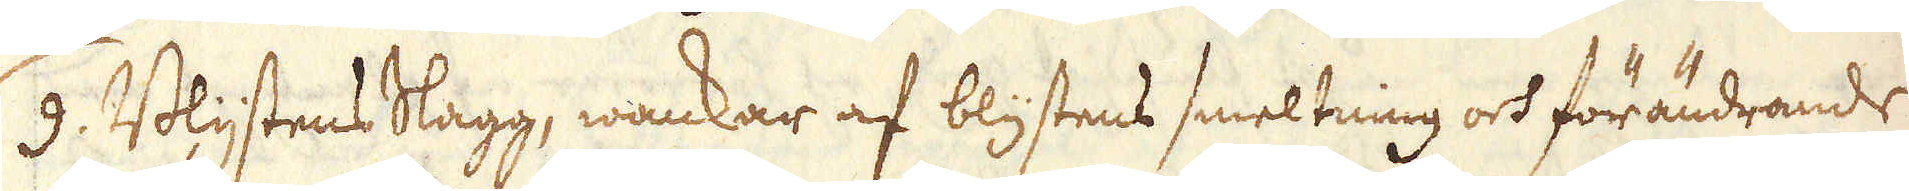/9. Blystens Slagg, wankar af blystens smeltning och förändrande
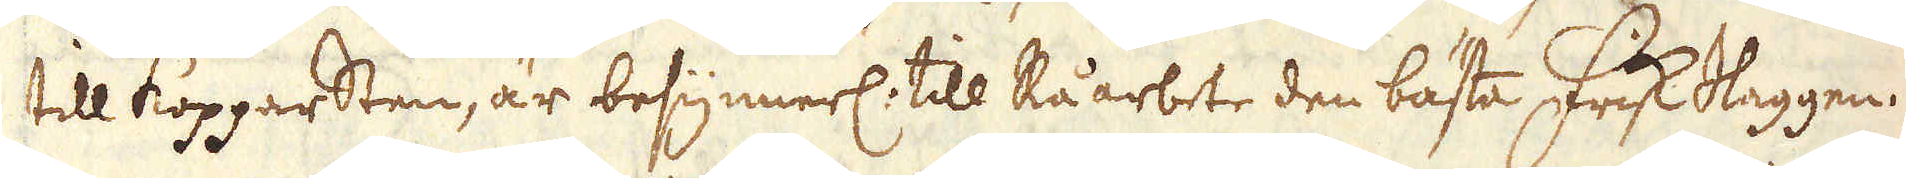till Kopparsten, är besynnerl: till Råarbete den bästa Frisk Slaggen.
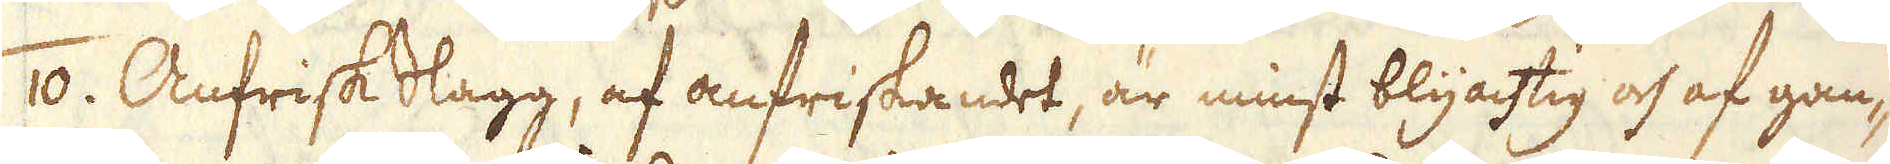/10. Anfrisk Slagg, af anfriskandet, är minst blyachtig och af gan-
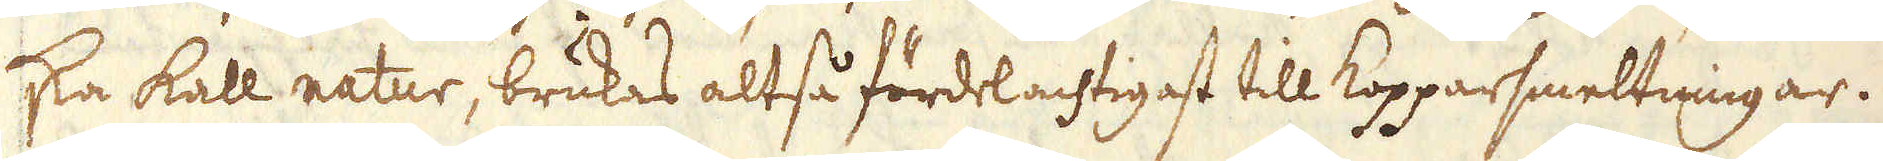ska kall natur, brukas altså fördelachtigast till Kopparsmeltningar.
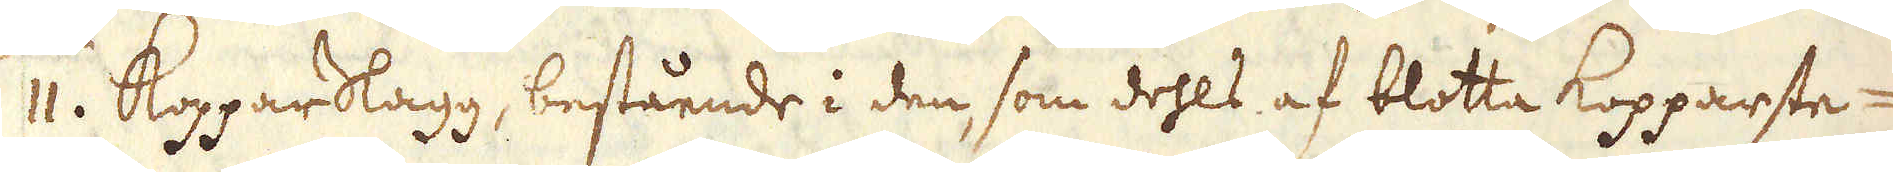/11. Koppar Slagg, bestående i den, som dehls af blotta Kopparste-
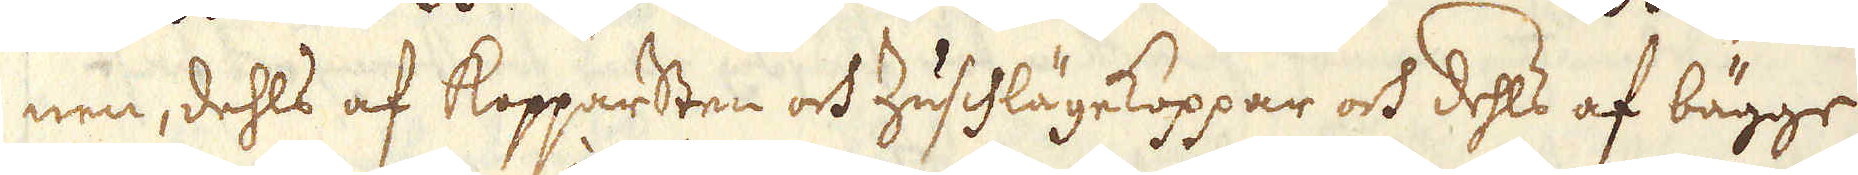nen, dehls af kopparsten och Zuschlägekoppar och dehls af bägge
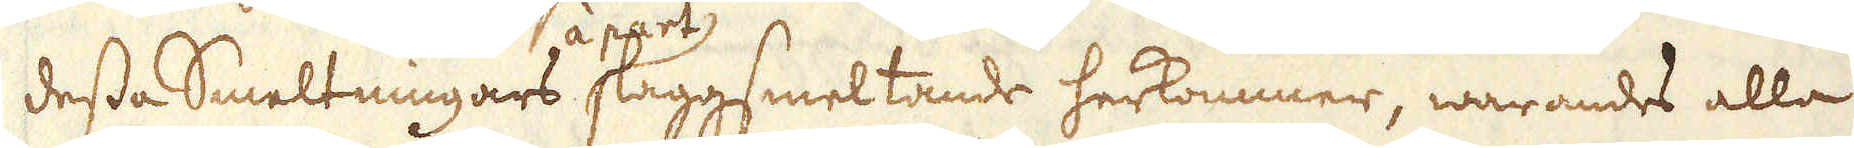dessa Smeltningars à part laggsmeltande herkommer, warandes alla
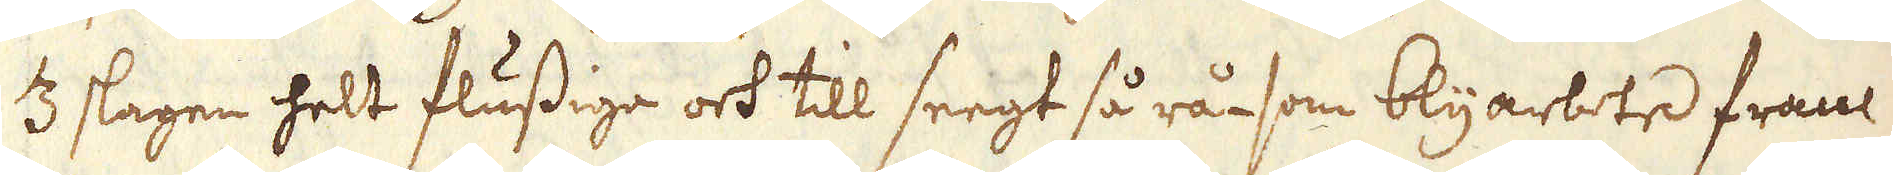3 slagen helt flussiga och till seegt så rå- som blyarbete fram
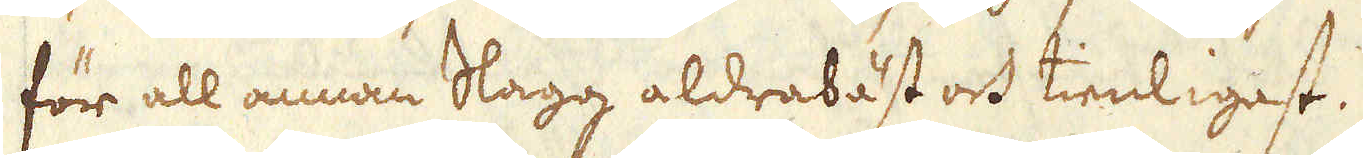för all annan Slagg aldrabäst och tienligast.
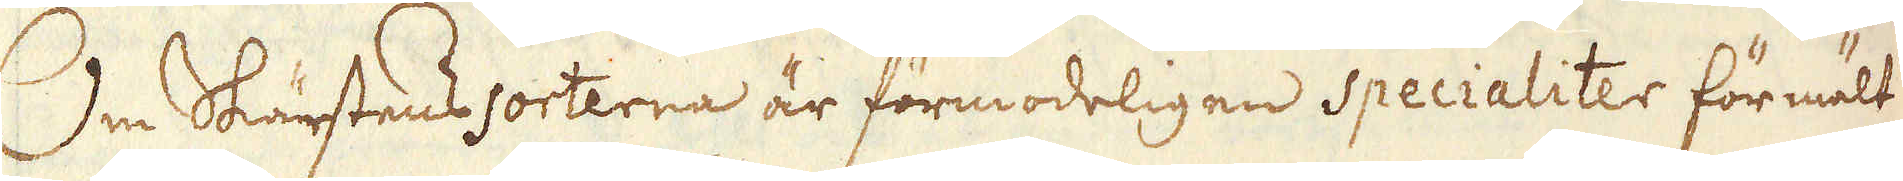Om Skärstens sorterna är förmodeligen specialiter förmält
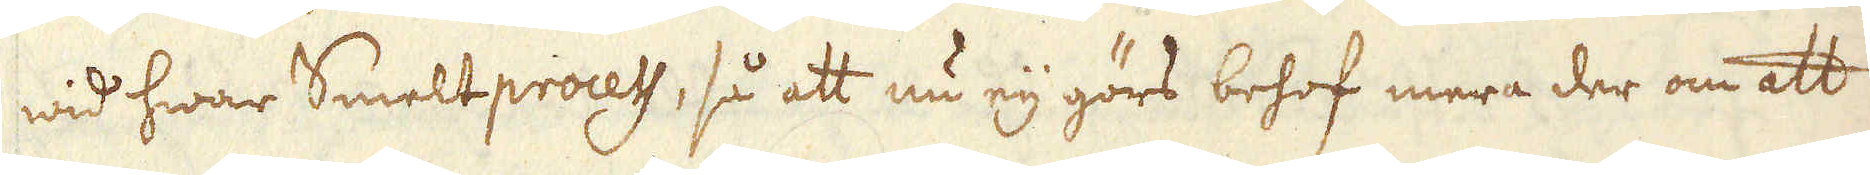wid hwar Smeltprocess, så att nu eij görs behof mera der om att
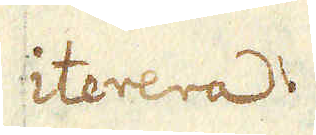iterera.
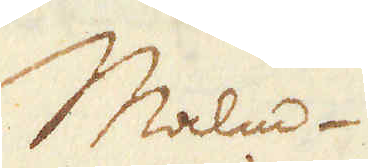Malm-
